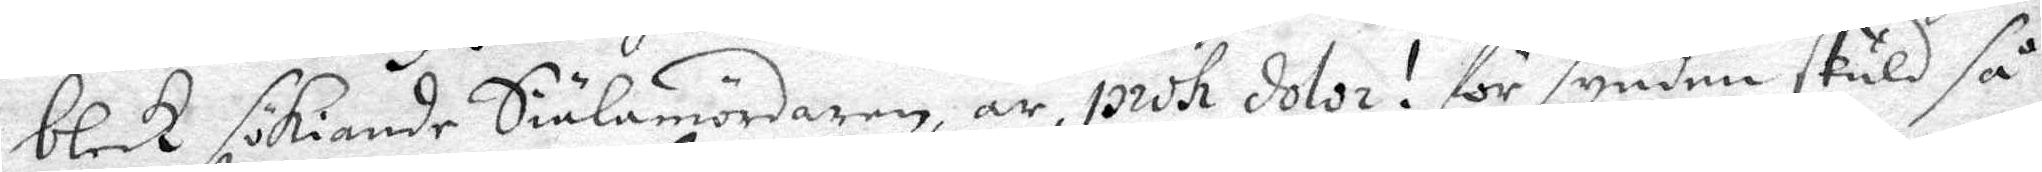bleck sökiande Siälamördaren, är, prok dolor! för synden skuld så
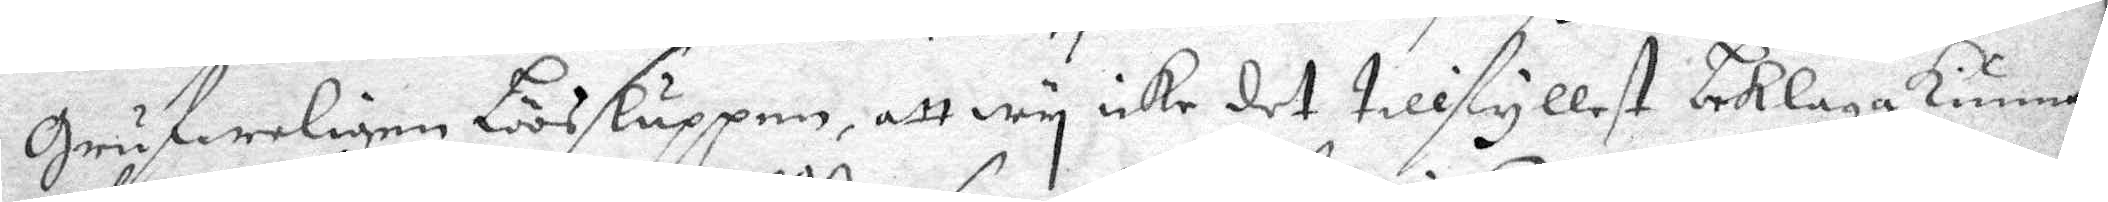Grufweligen Lösluppen, att wy icke det tillfyllest beklaga kunna,
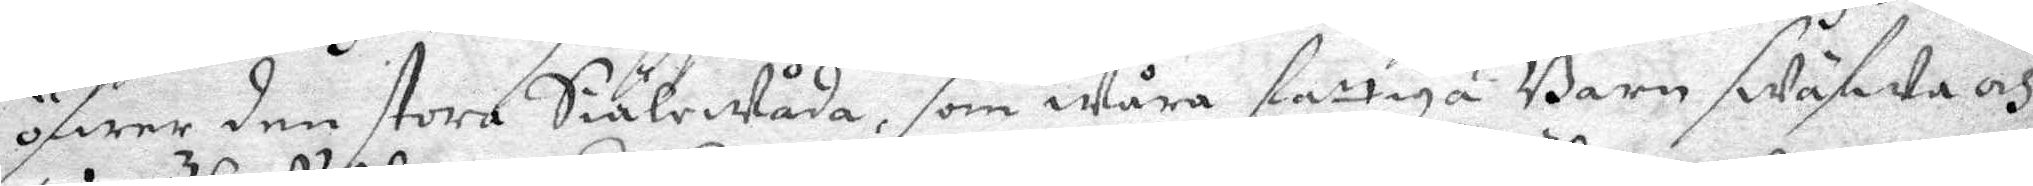öfwer den stora Siälewåda, som wåra fattiga Barn swäfande och
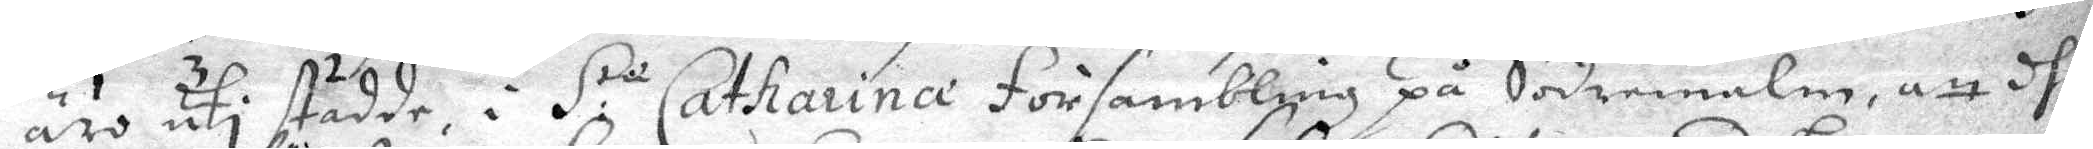äro uti stadde i S:r Catharina Försambling på Södremalm, att dhe
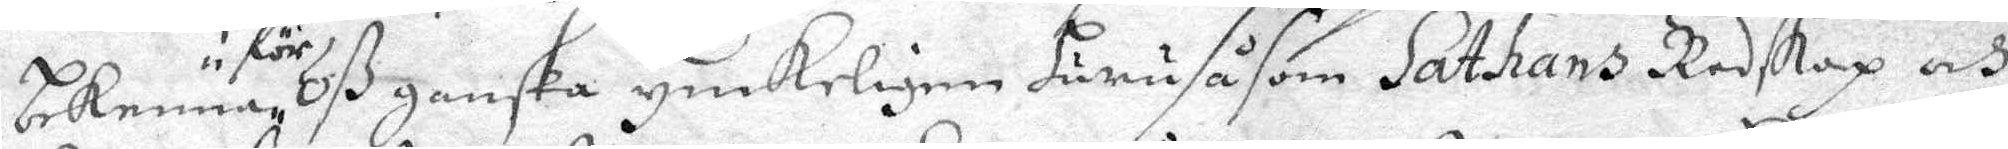bekenna oß ganska yinkeligen huru såsom Sathans Redskap och
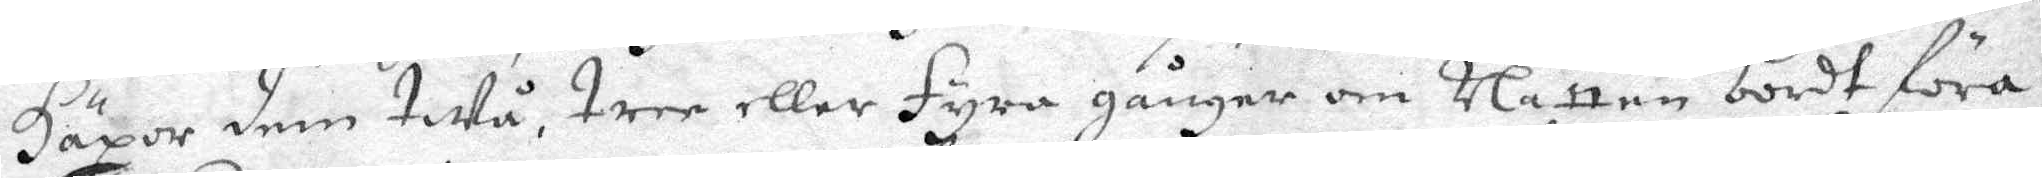Häxor dem twå, tree eller fyra gånger om Natten bordt föra 
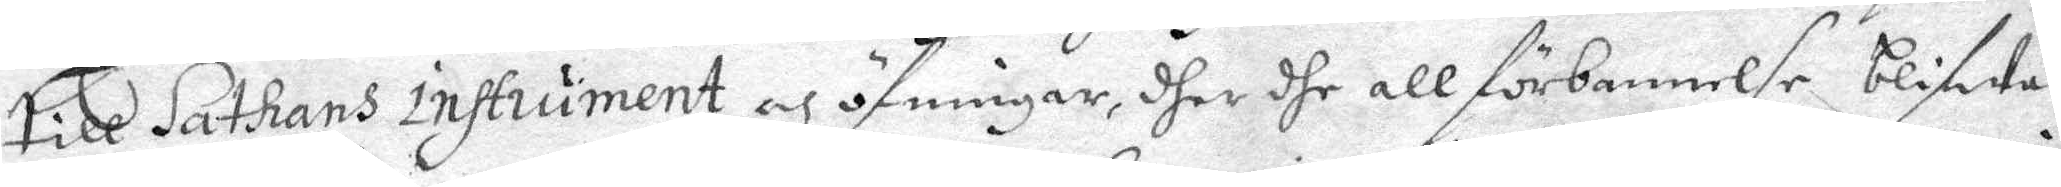till Sathans instrument och öfningar, dher dhe all förbannelse blifwa
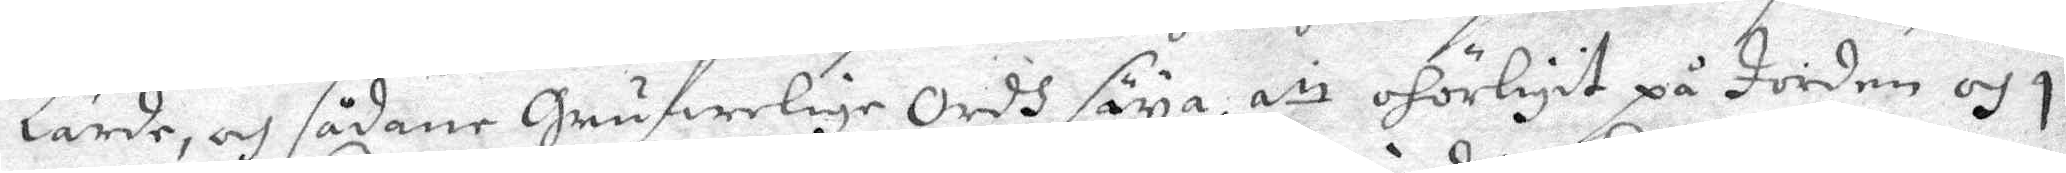lärde, och sådane Grufwelige Ordh säya, att ohörligit på Jorden och ;
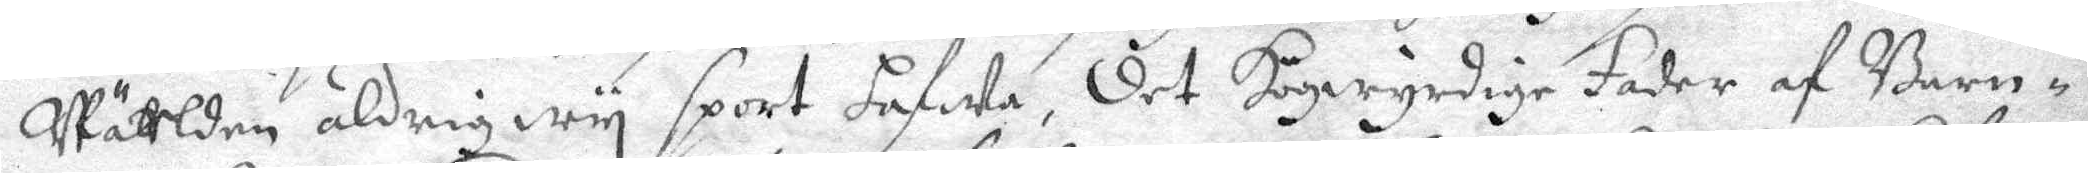Wätlden aldrig wy sport hafwa, det Högwyrdige Fader af Barn¬
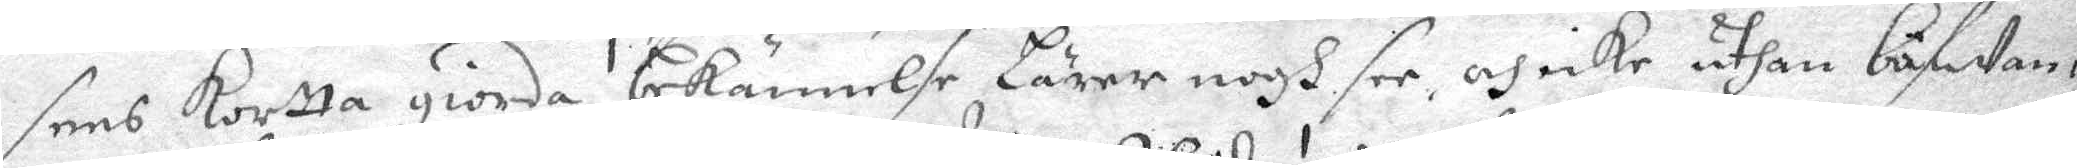sens kortta giorda bekännelse lärer nogh see, och icke uthan bäfwan
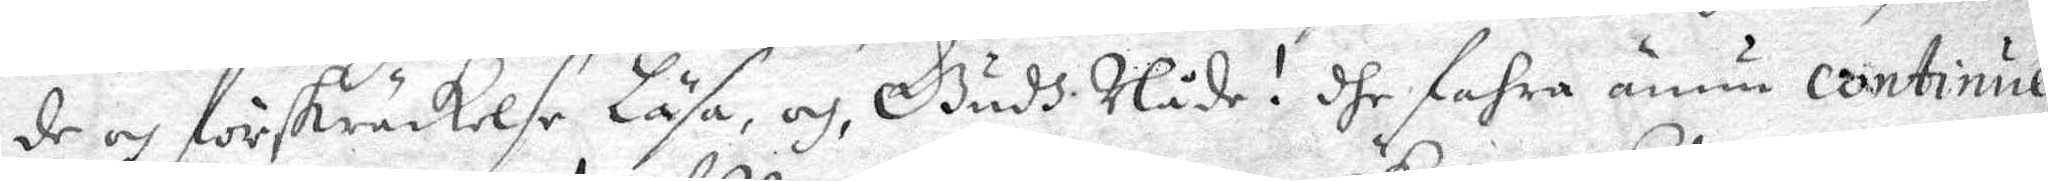de och förskräckelse Läsa, och, Gudh Nåde! dhe fahra ännu continue
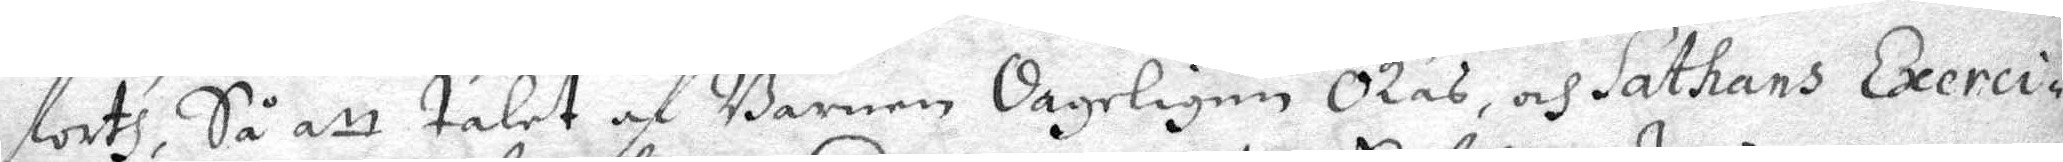forth, Så att talet af Barnen dageligen Ökas, och Sathans Exerci¬
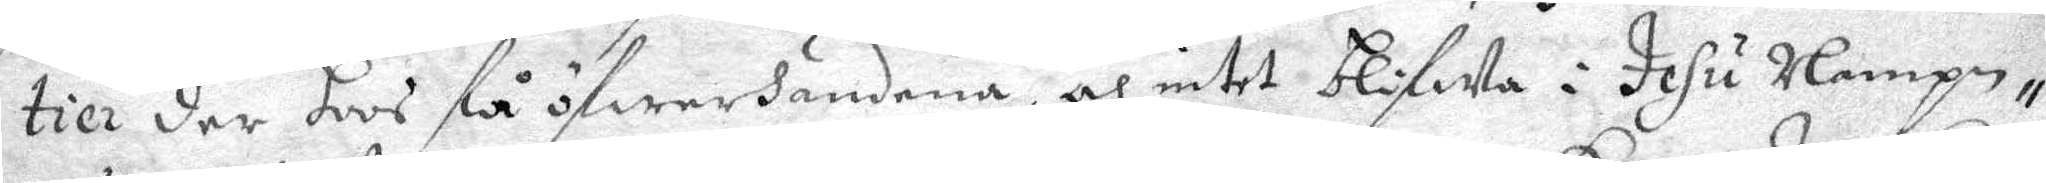tier der hoos få öfwerdandena, och intet blifwa i Jesu Nampn,
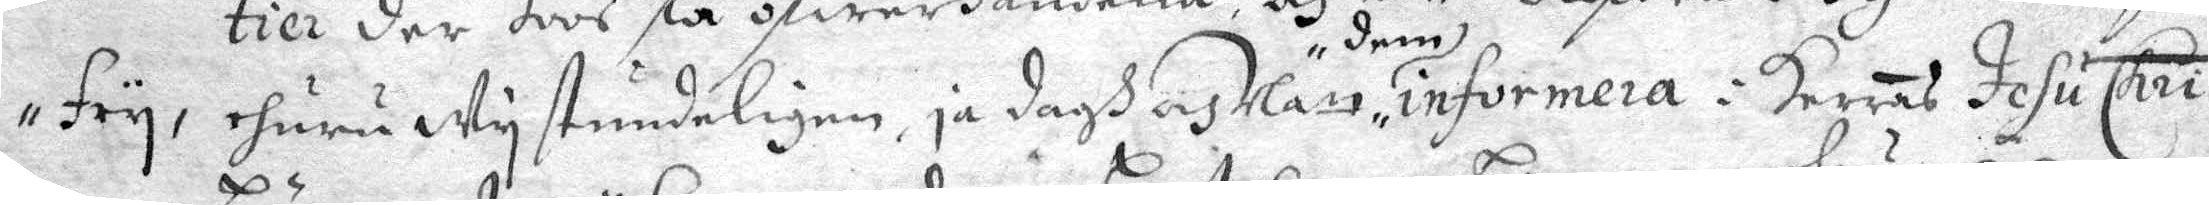Fry, ehuru Wy stundeligen, ja dagh och Natt dem, informera i Herras Jesu: Chri
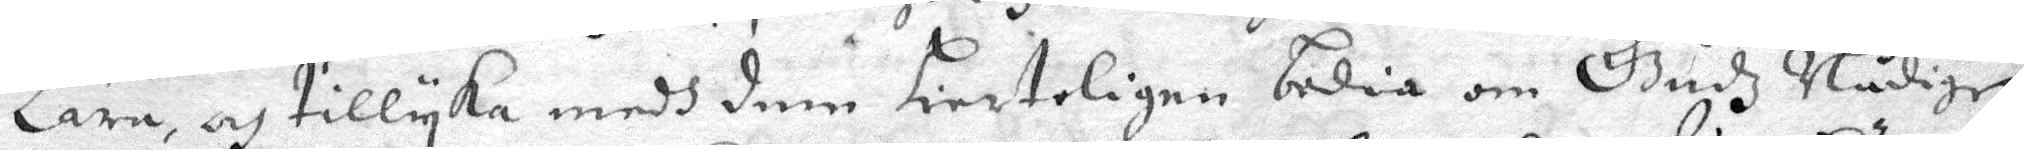lära, och tillyka medh dem hierteligen bedia om Gudz Nådige
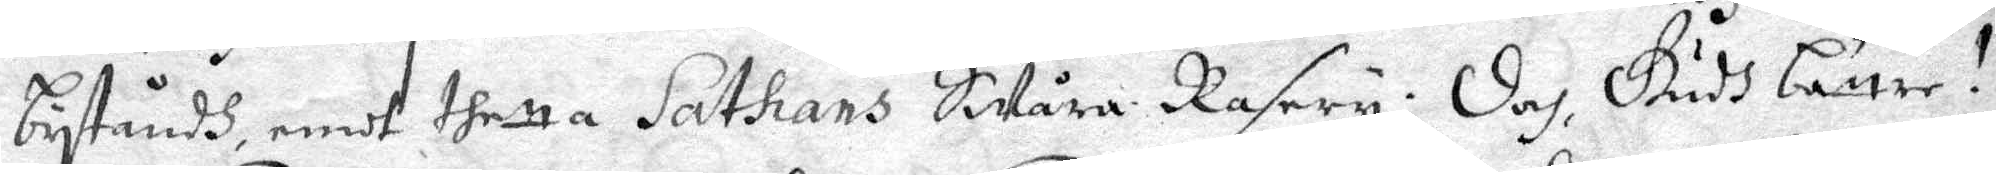beståndh emot thetta Sathans Swåra Rasery: Dej Gudh bättre 
